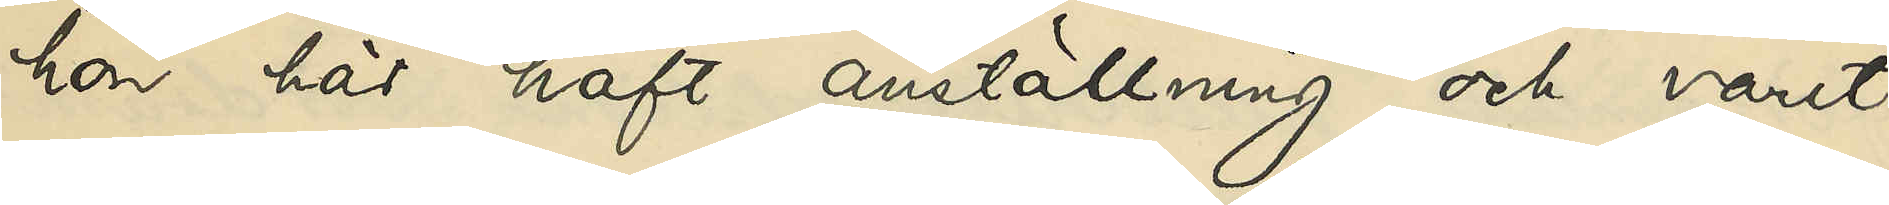hon här haft anställning och varit
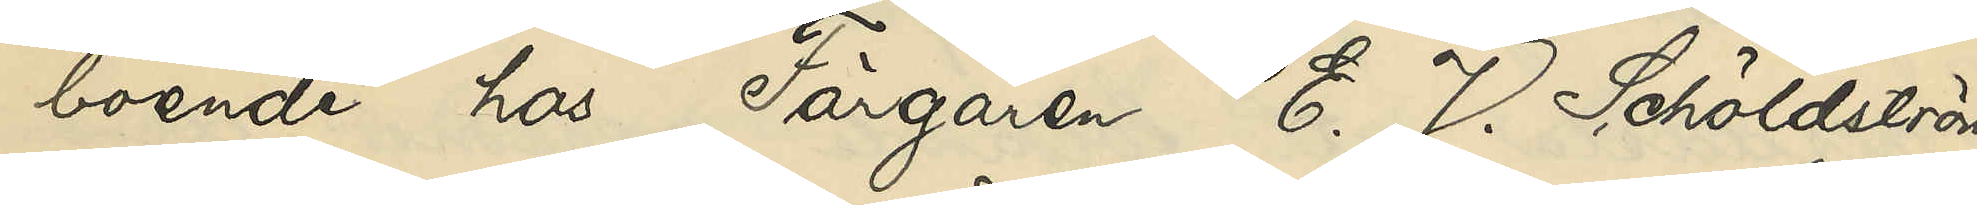boende hos Färgaren E. J. Schöldström
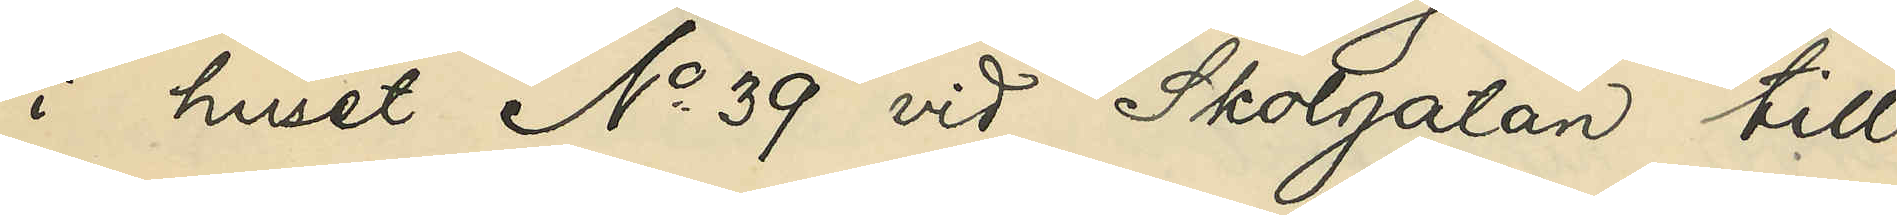i huset No 39 vid Skolgatan till
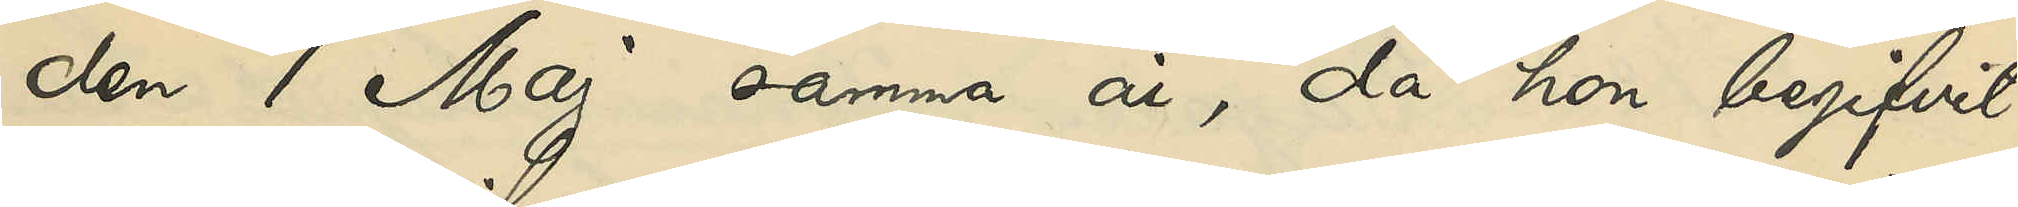den 1 Maj samma år, då hon begifvit
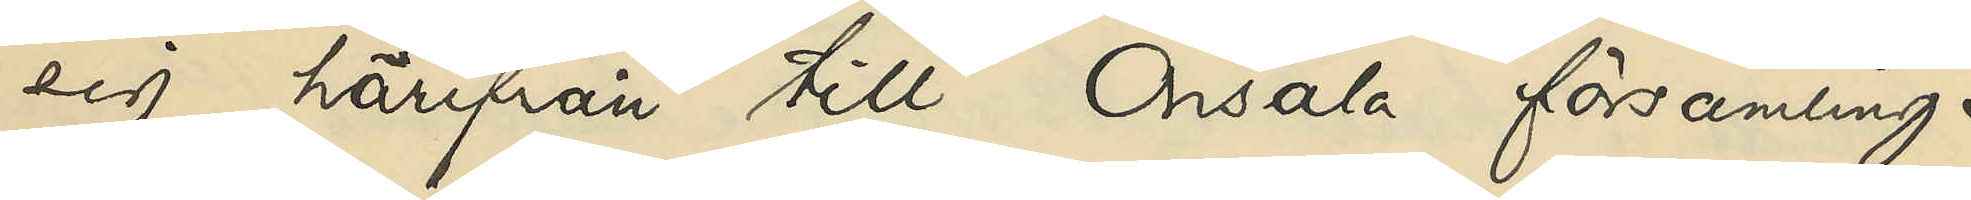sig härifrån till Onsala församling i
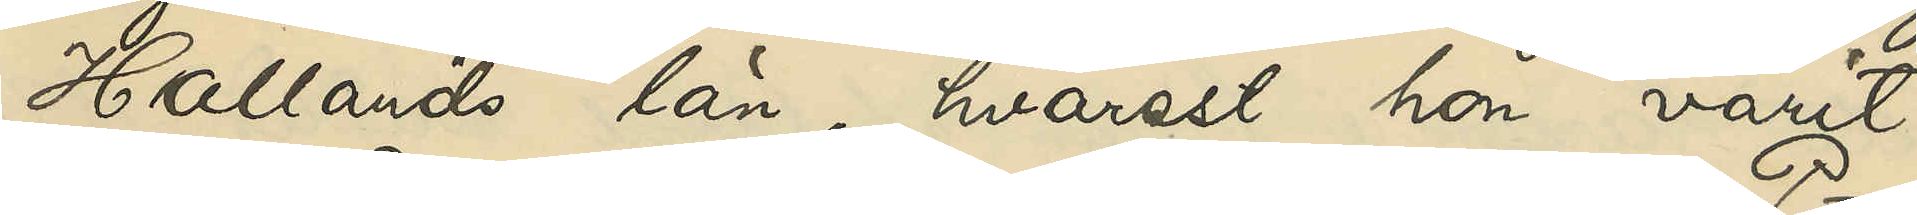Hallands län, hvarest hon varit
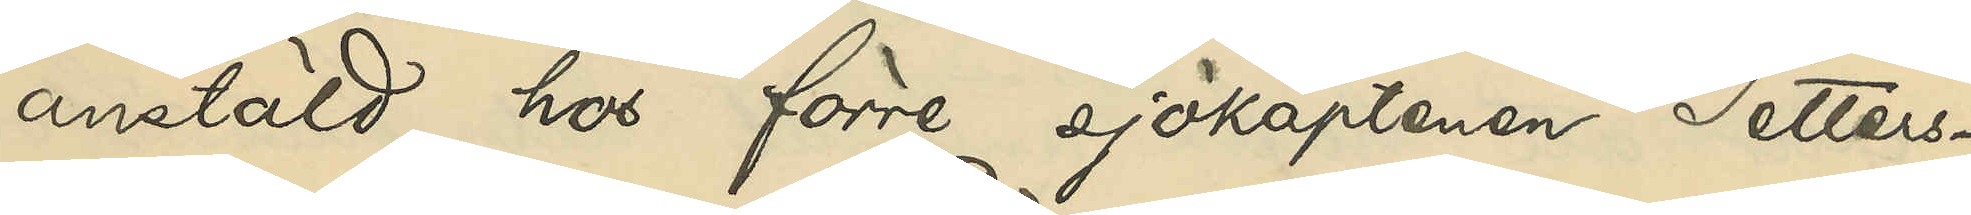anstäld hos förre sjökaptenen Petters¬
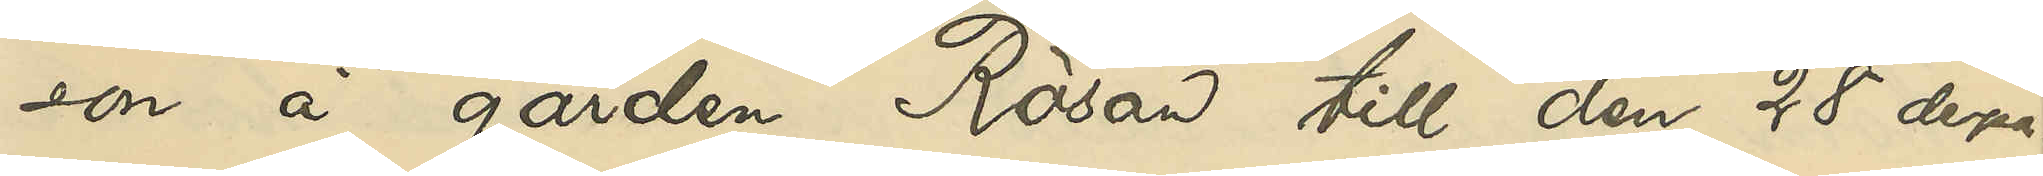son å gården Rösan till den 28 derpå¬
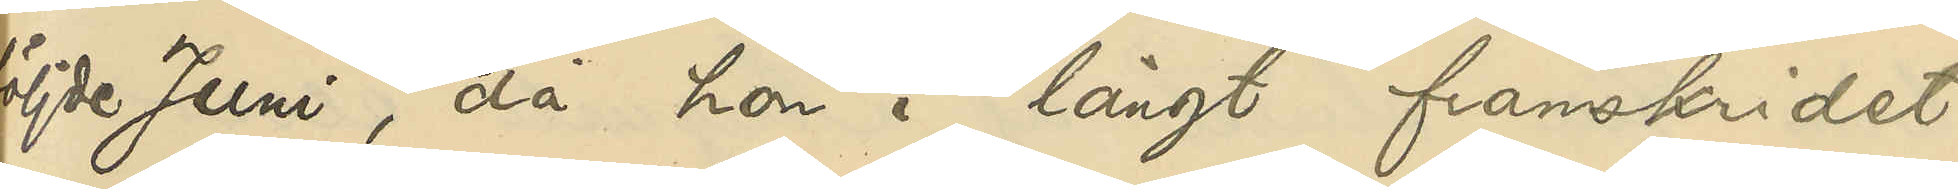följde Juni, då hon i långt framskridet
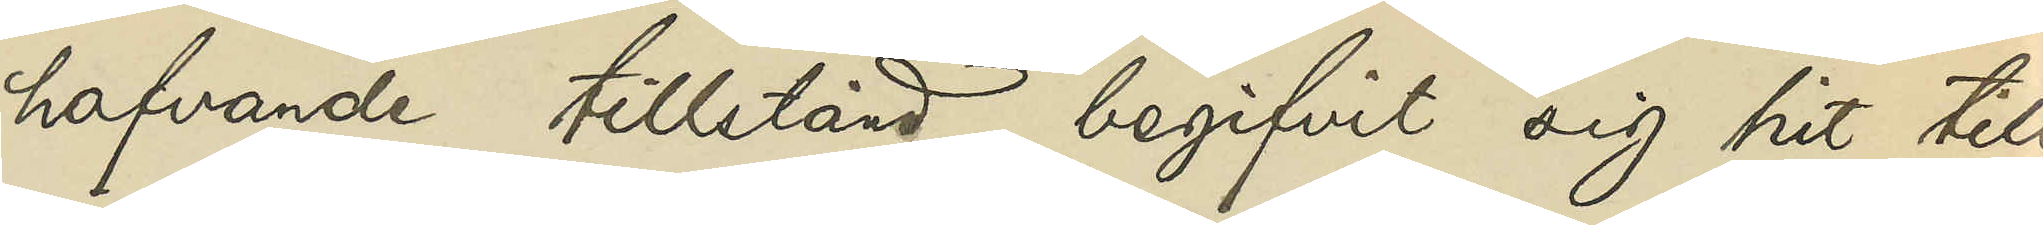hafvande tillstånd begifvit sig hit till
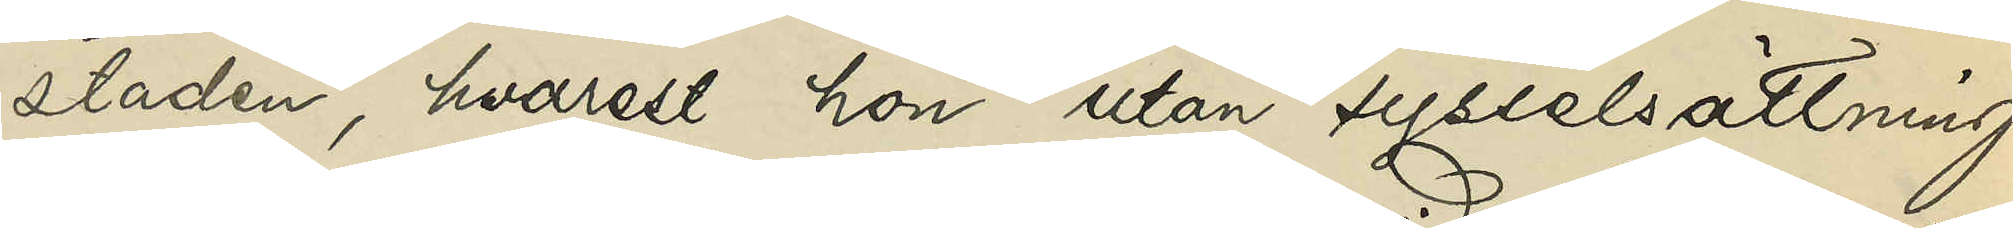staden, hvarest hon utan sysselsättning
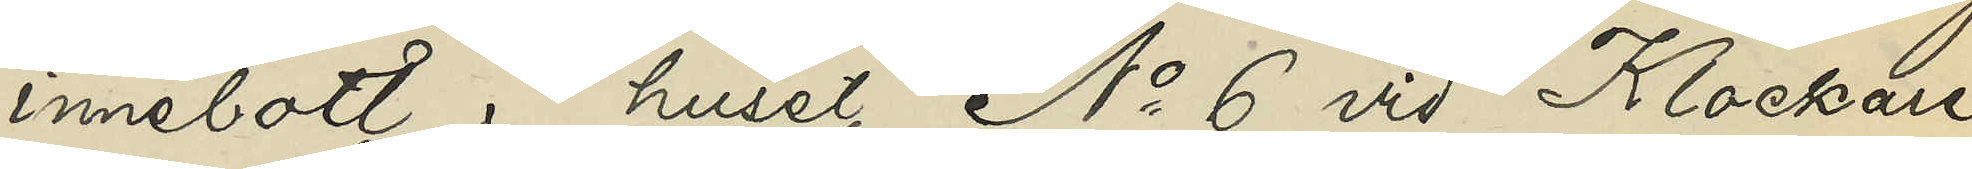innebott i huset No 6 vid Klockare¬
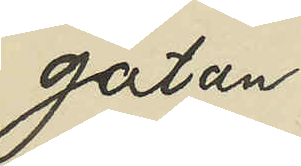gatan
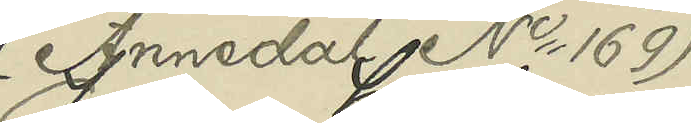(Annedal No 169)
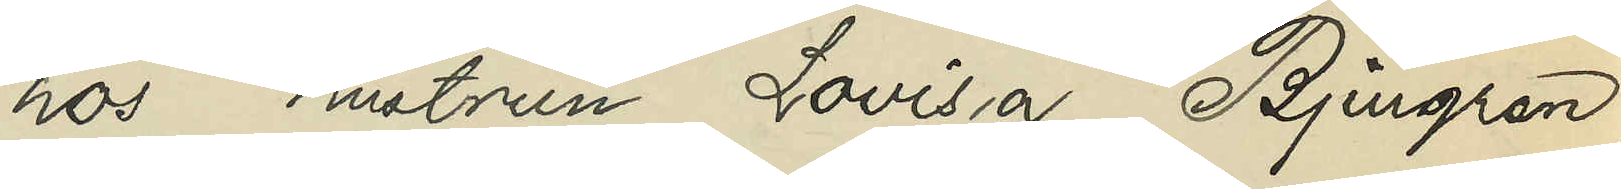hos hustrun Lovisa Bjurgren,
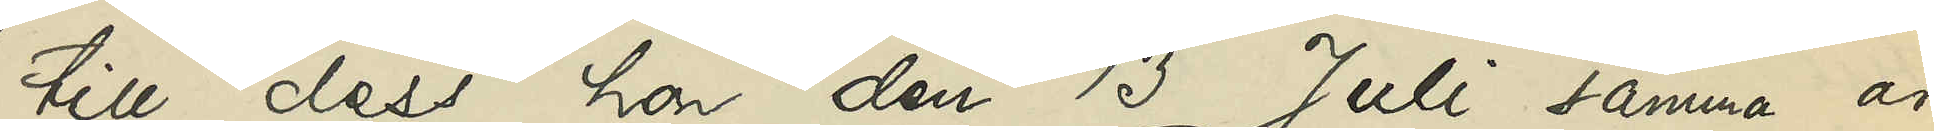till dess hon den 13 Juli samma år
